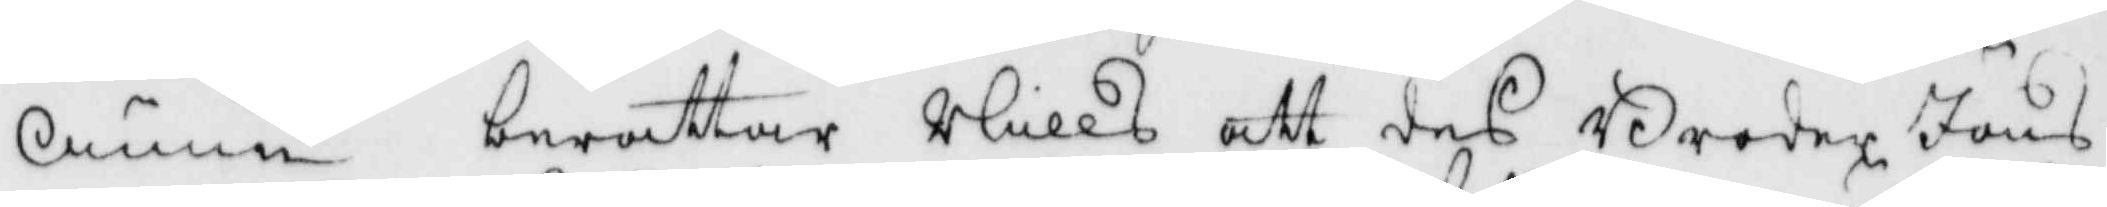Ännu berättar Nills att des Broder Jöns
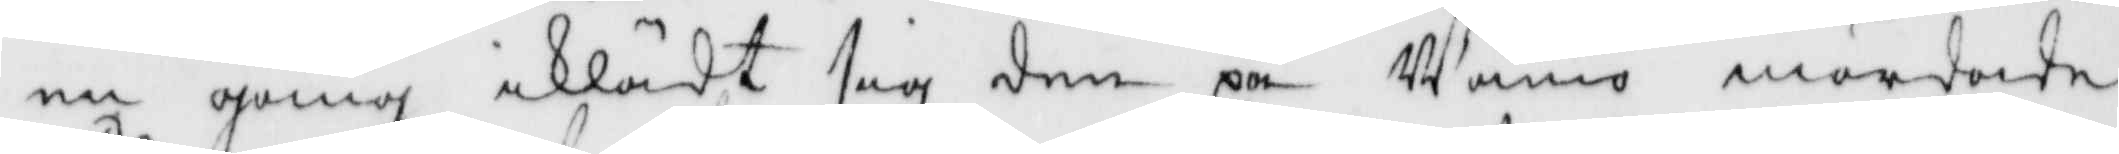en gång iklädt sig den på Wänö mördade
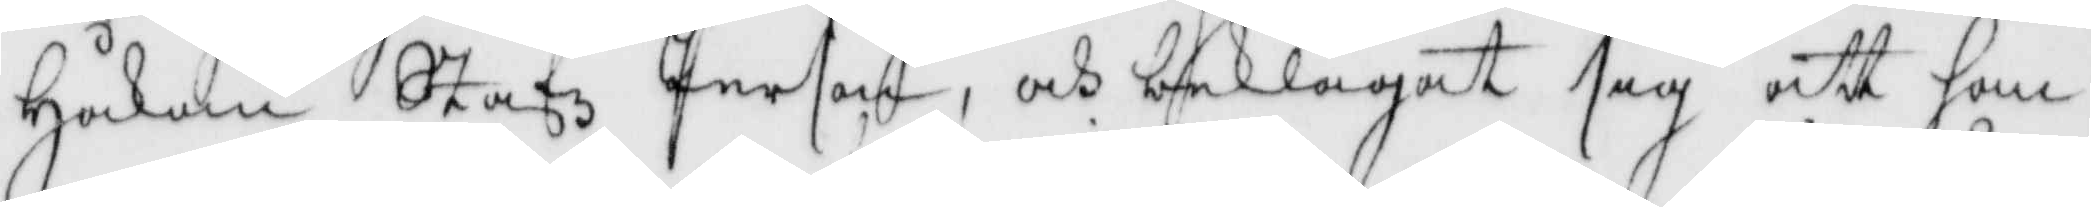Håkan Stafz Person, och beklagat sag att han
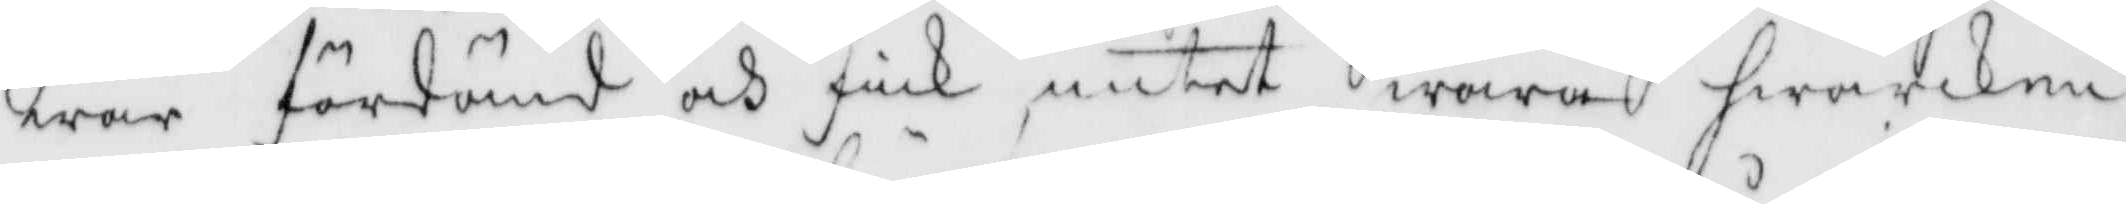war fördömd och fick intet wara hwarken
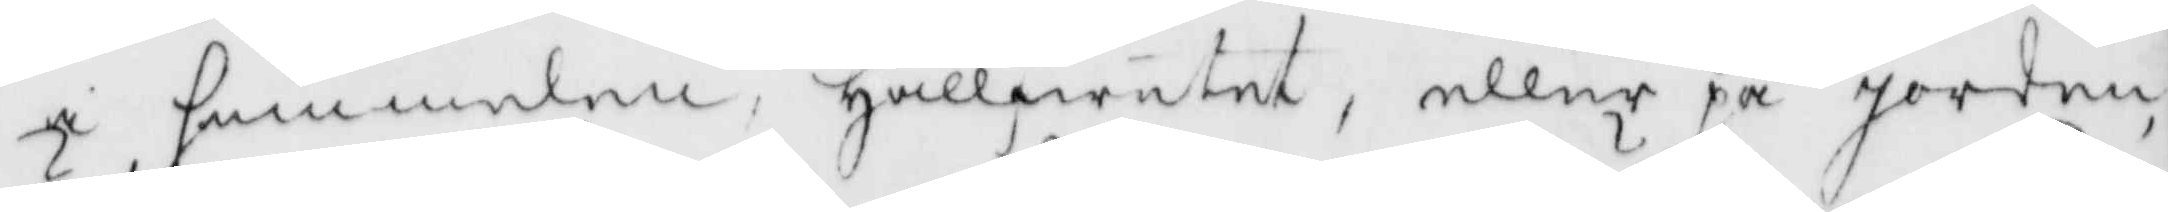i himmelen, Hällfwetet, eller på Jorden,
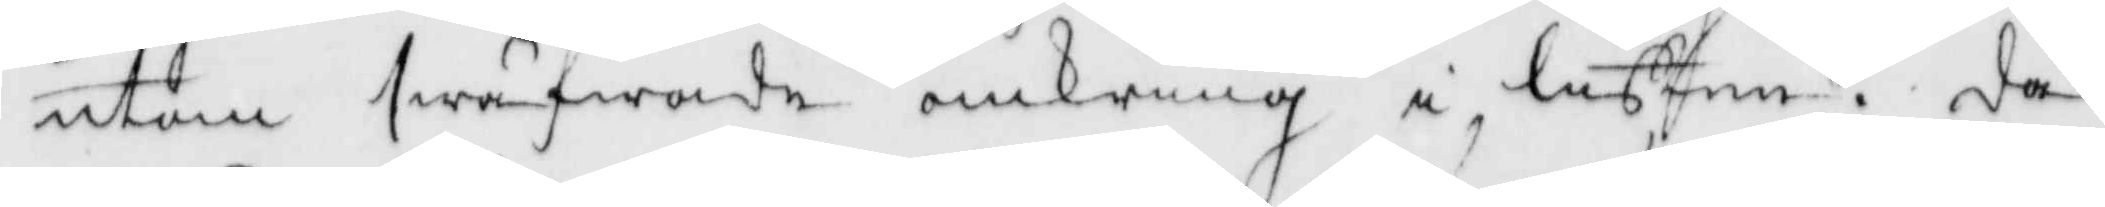utan swäfwade omkring i lufften, då
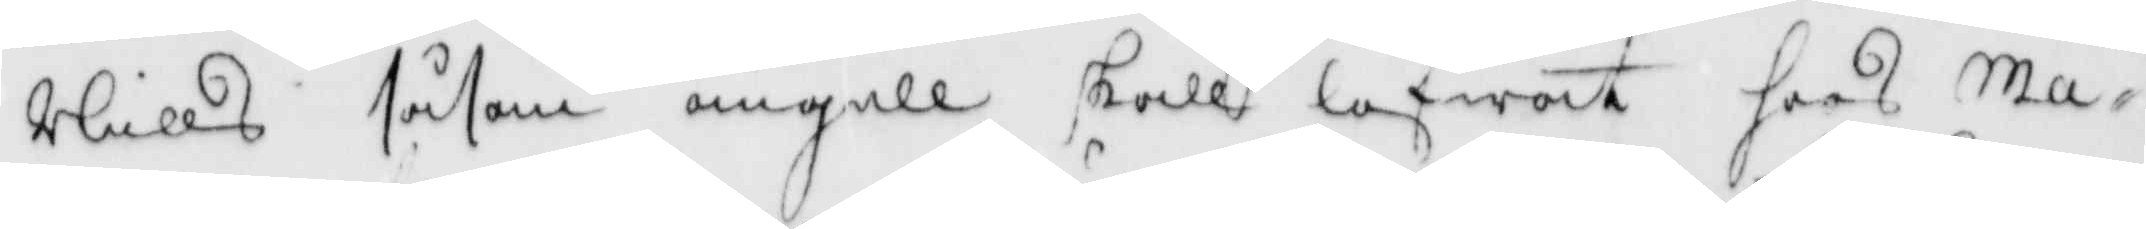Nills såsom ängell skall lofwat hoos Ma¬
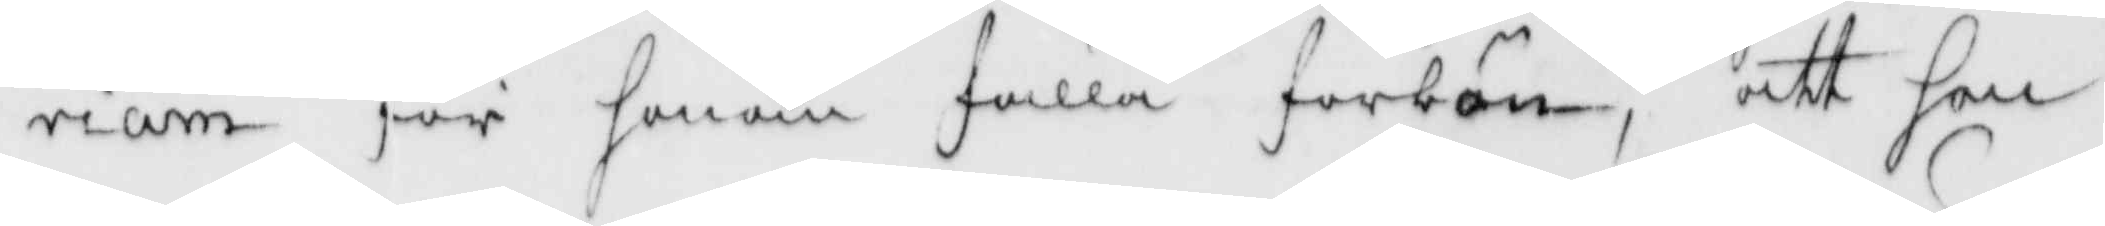riam för honom fälla förbön, att han
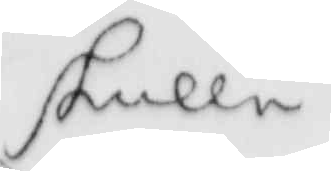skulle
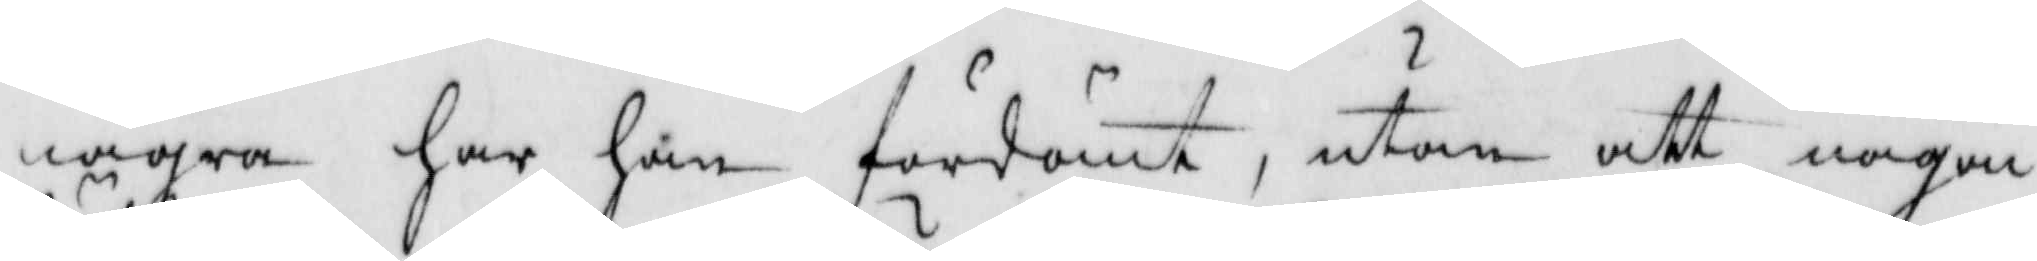några har han fördömt, utan att någon
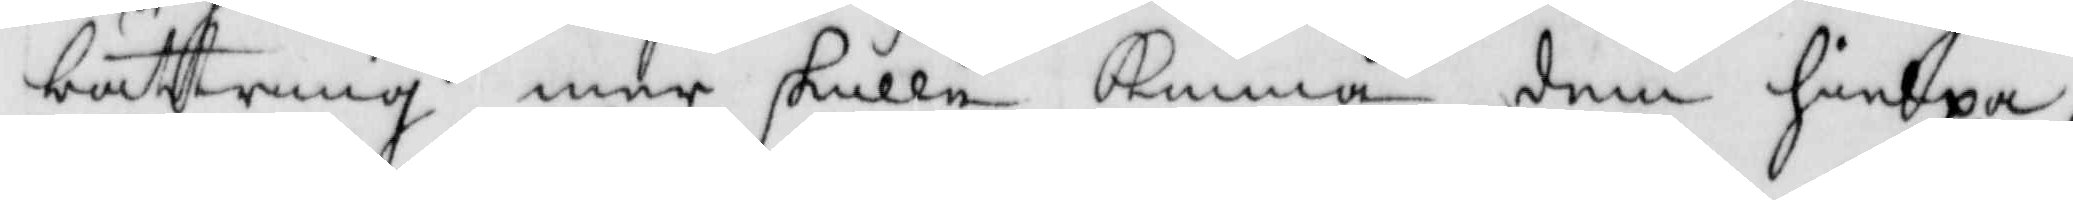bättring med skulle kunna dem hielpa,
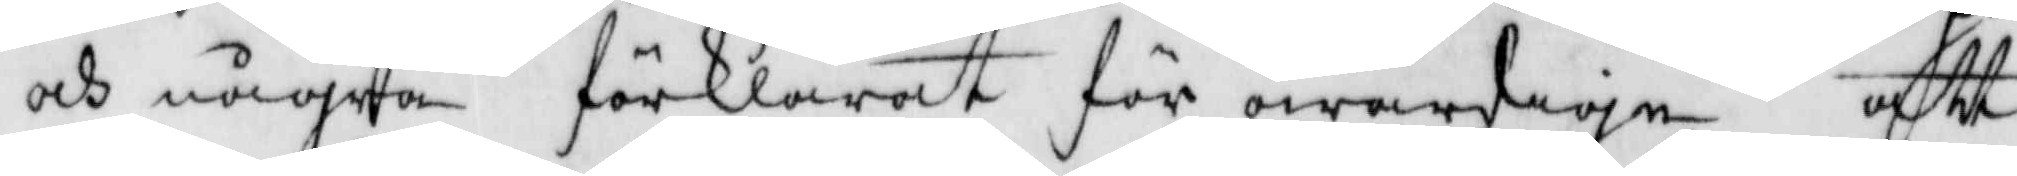och några förklarat för owärdige att
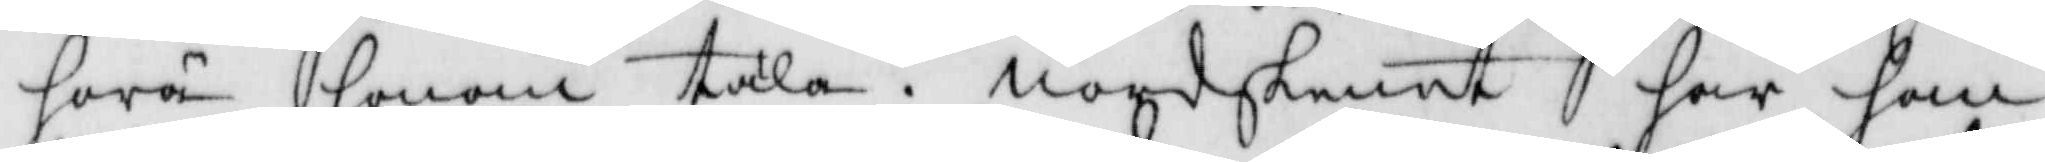höra honom tala, nordskenet har han
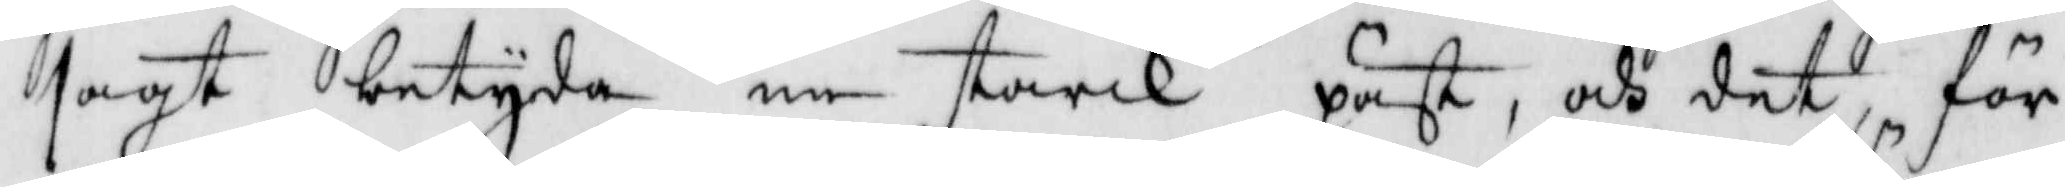sagt betyda en starck påst, och det, för
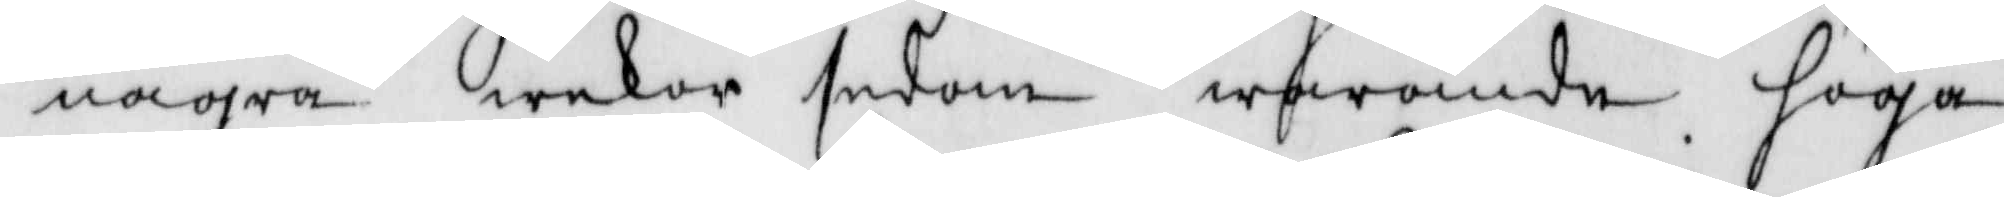några wekor sedan warande höga
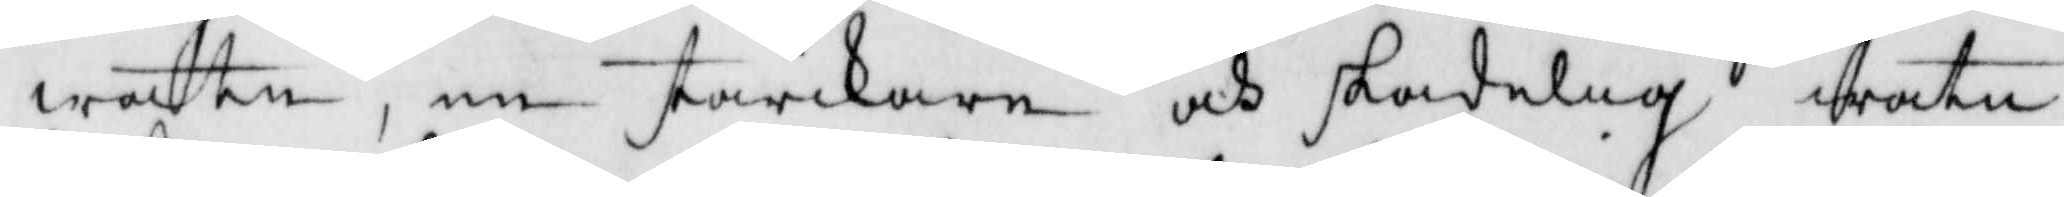watn, en starkare och skadelig watn¬
